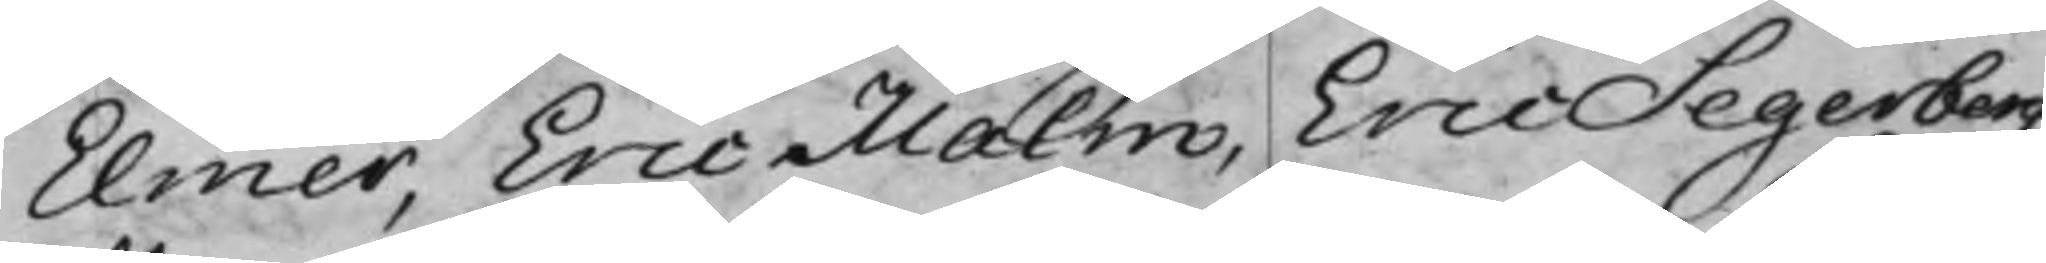Elmer, Eric Malm, Eric Segerberg,
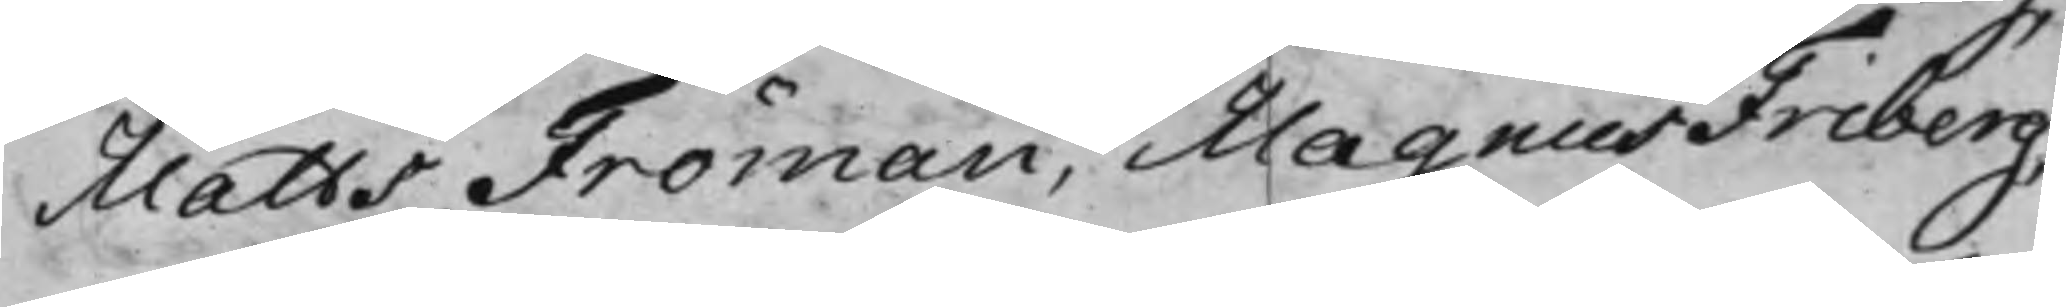Matts Fröman, Magnus Friberg
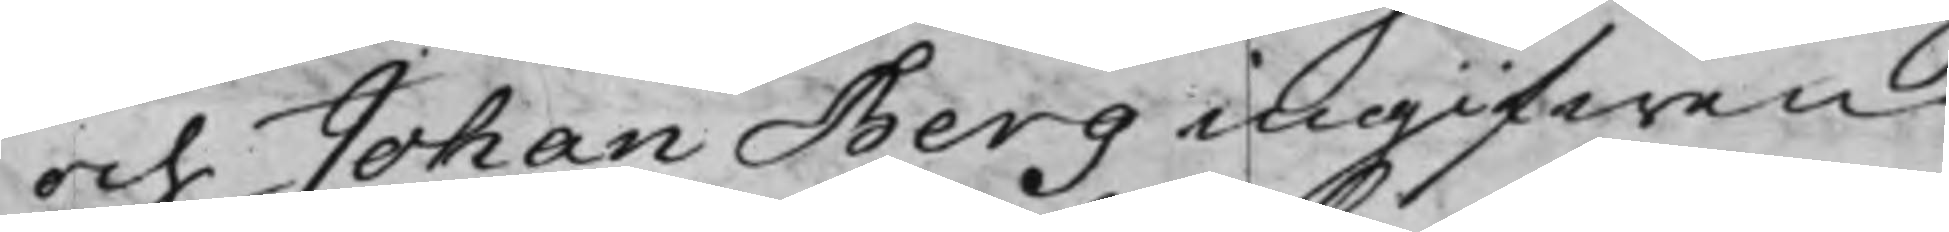och Johan Berg ingifwen
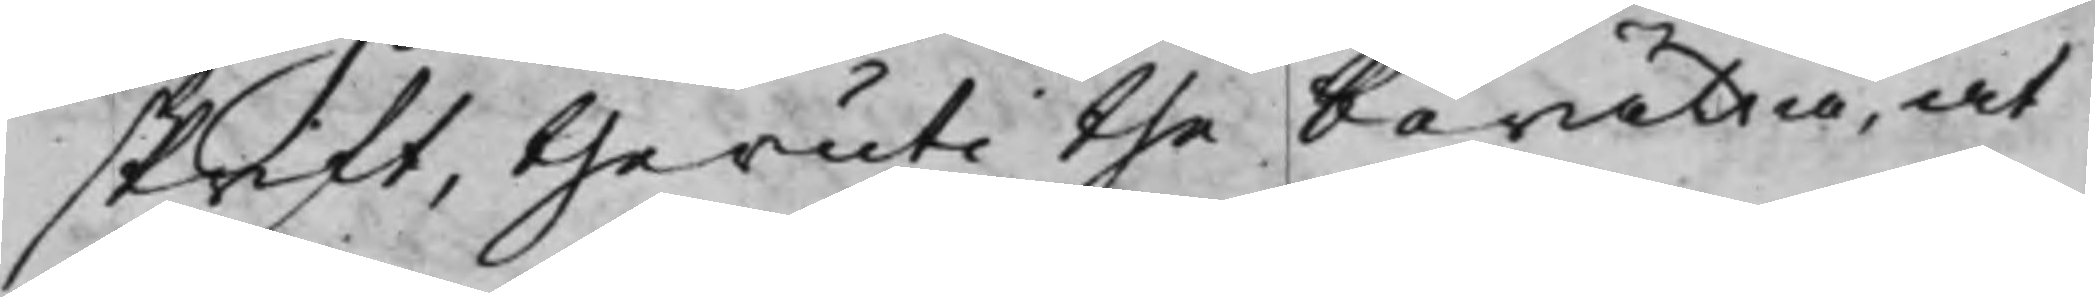skrift, theruti the berätta, at
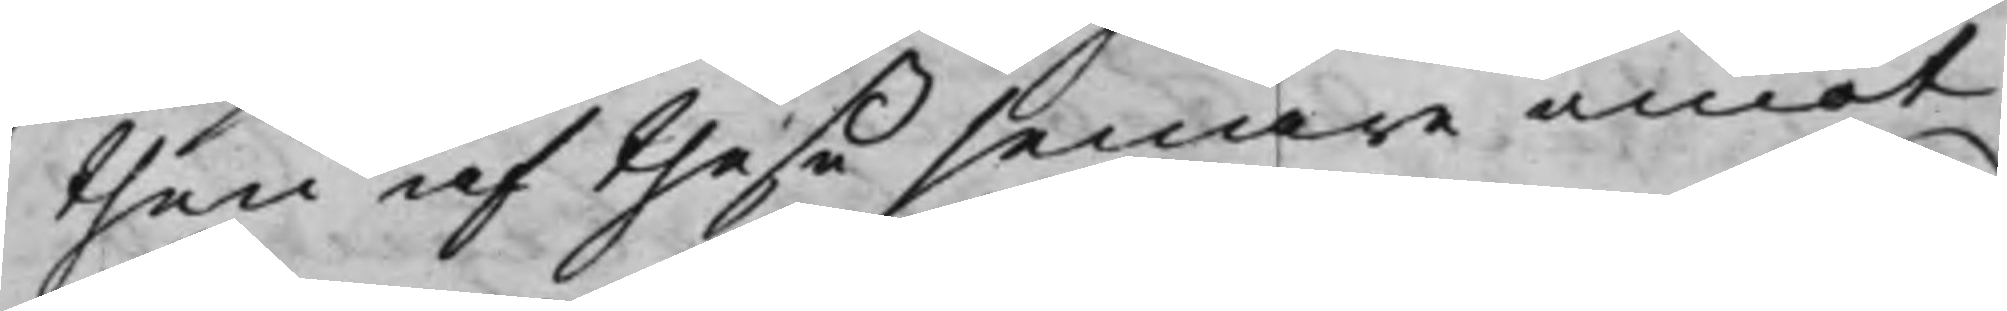then af theße senare emot
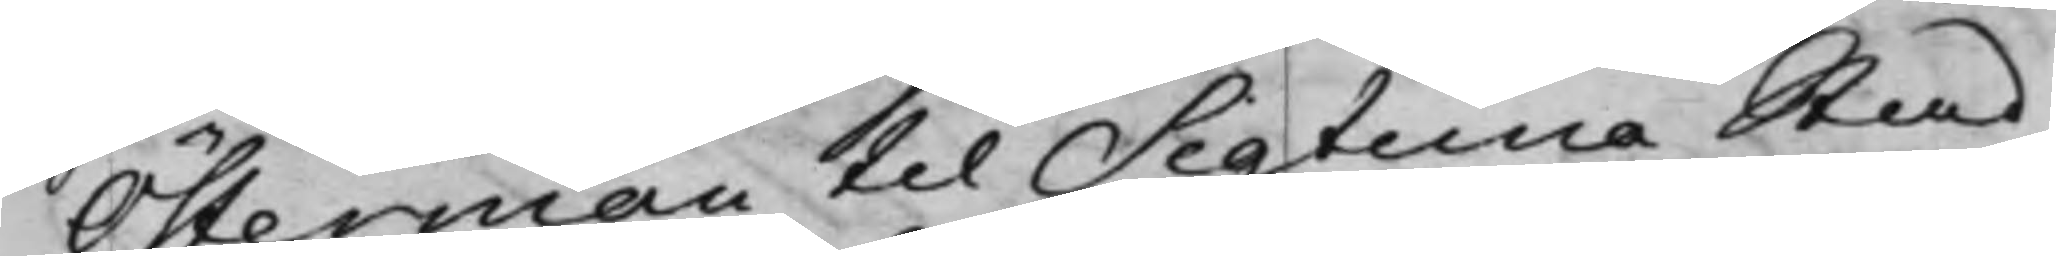Österman til Sigtuna Stad
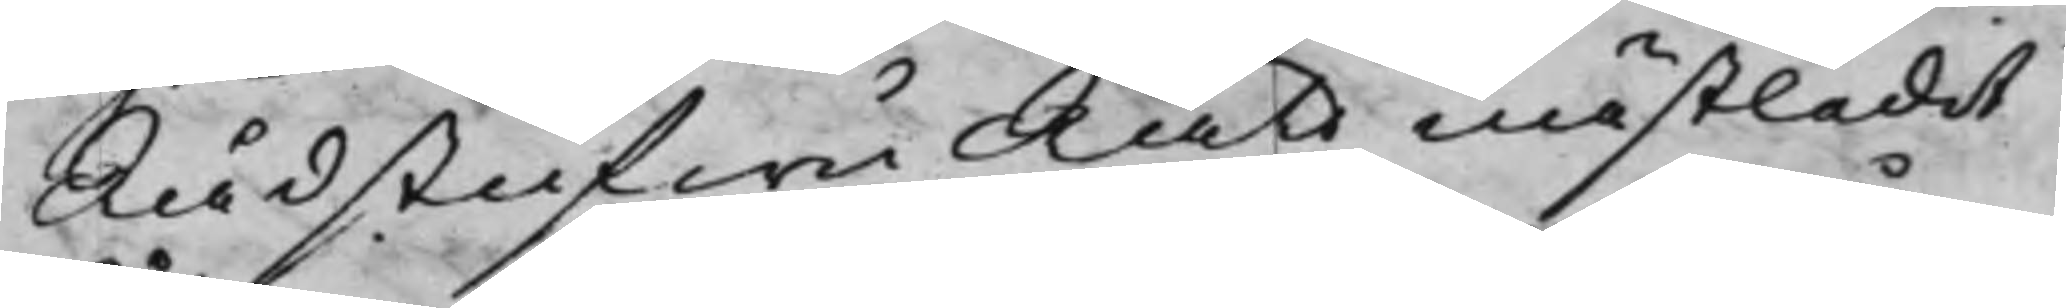RådstufwuRätt nästledit
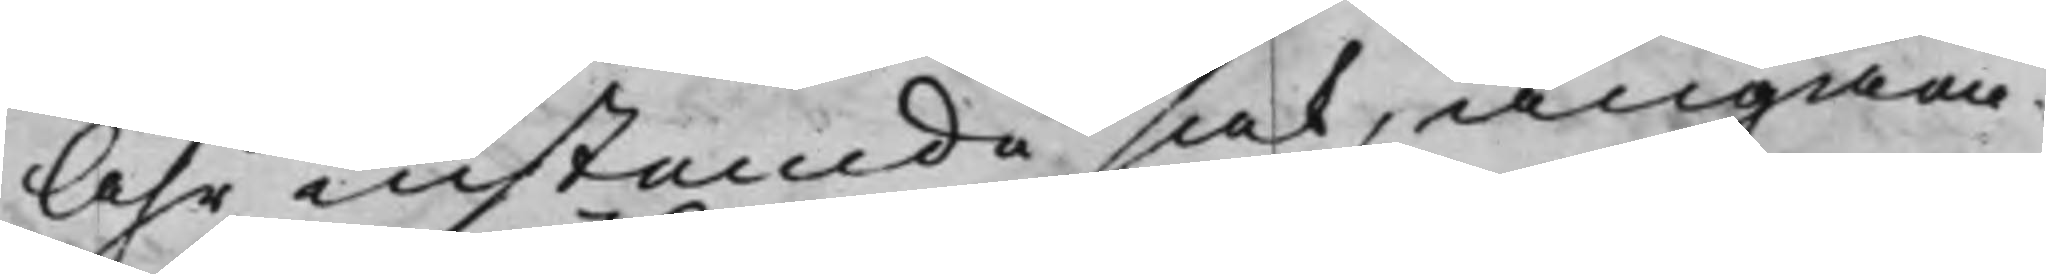Åhr instamde sak, angåen¬
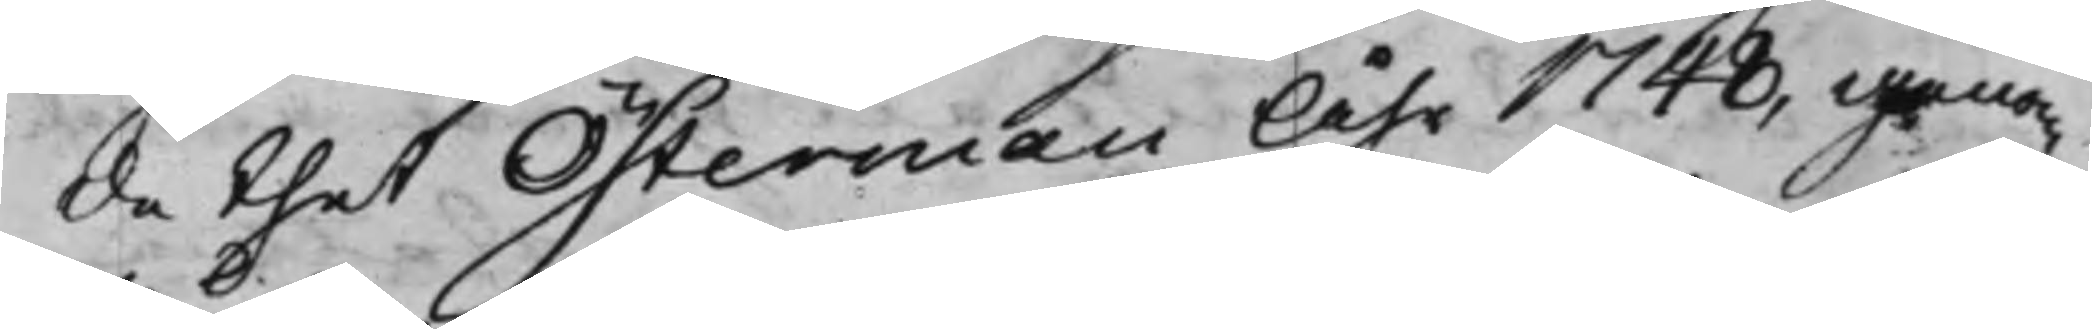de thet Österman Åhr 1748, genom
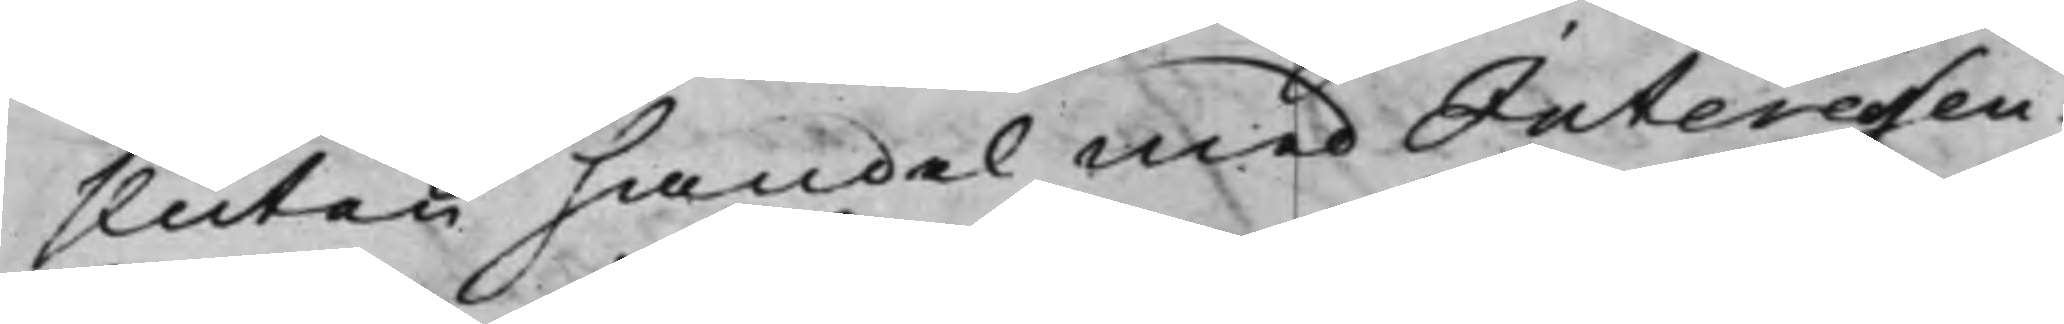sluten handel med Interessen¬
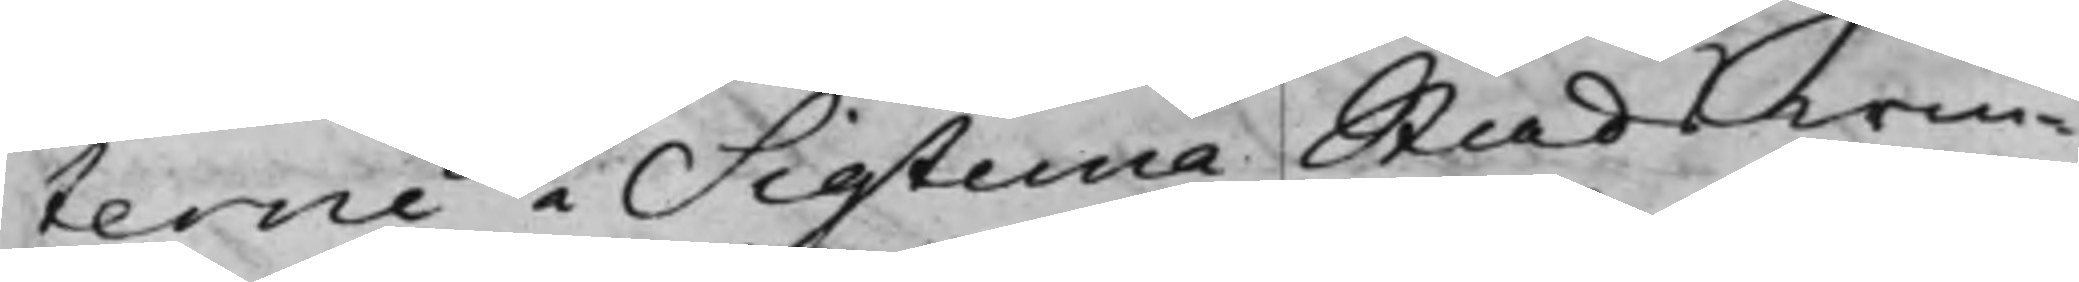terne i Sigtuna Stads win¬
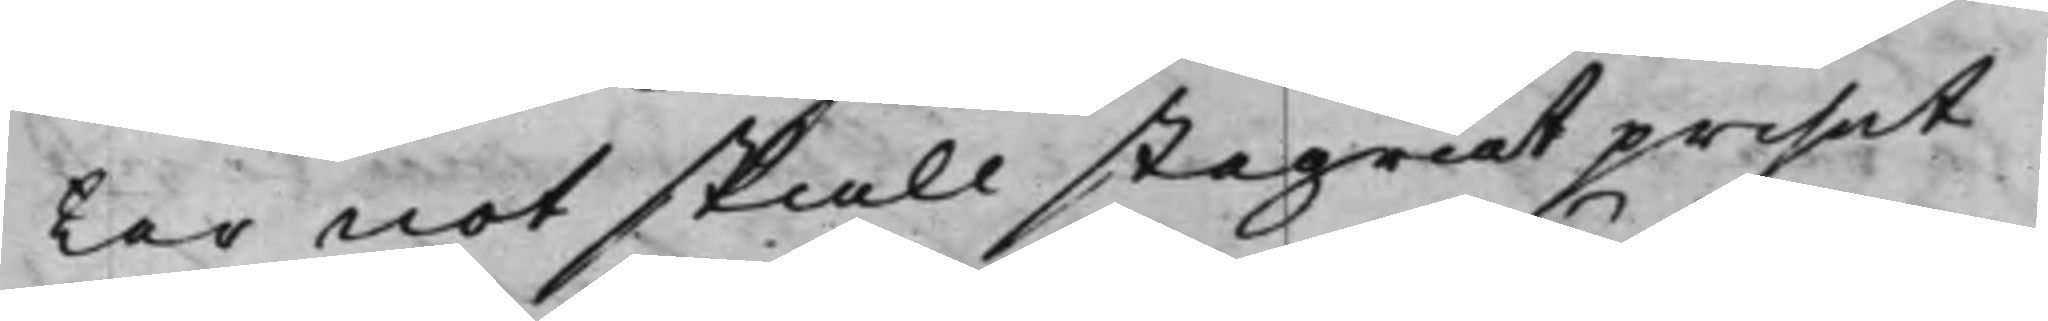ter not skall stegrat priset
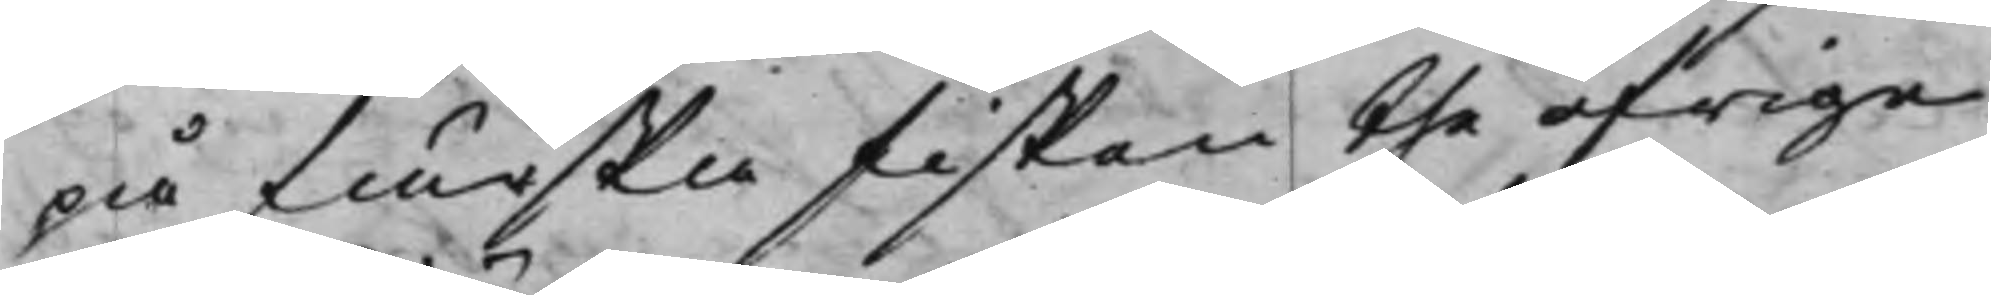på färska F<isken the öfrige
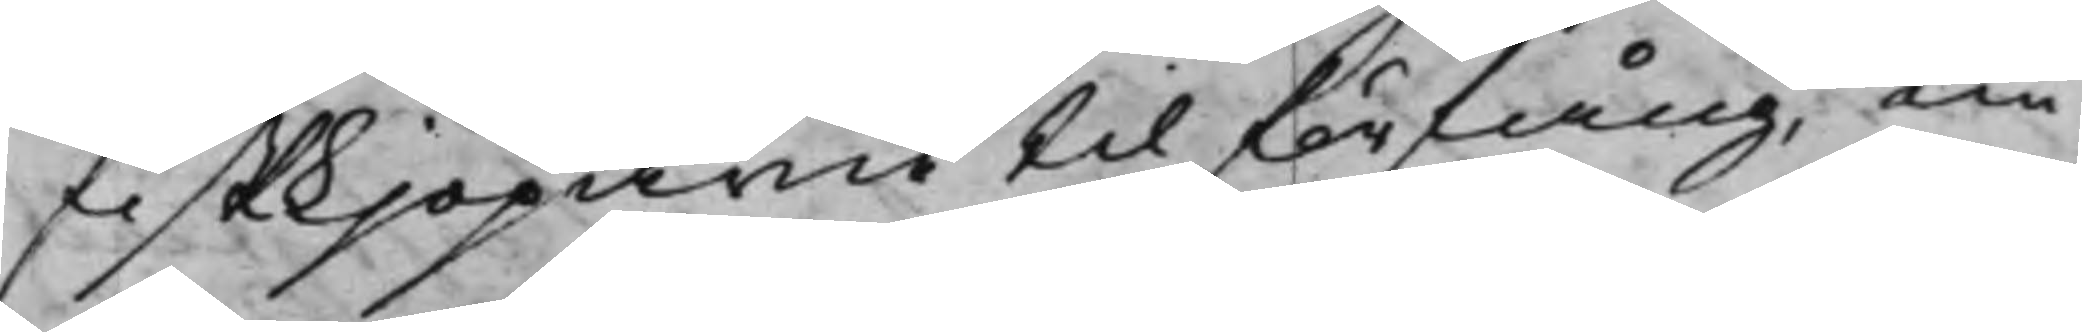fiskjöparne til förfång, nu
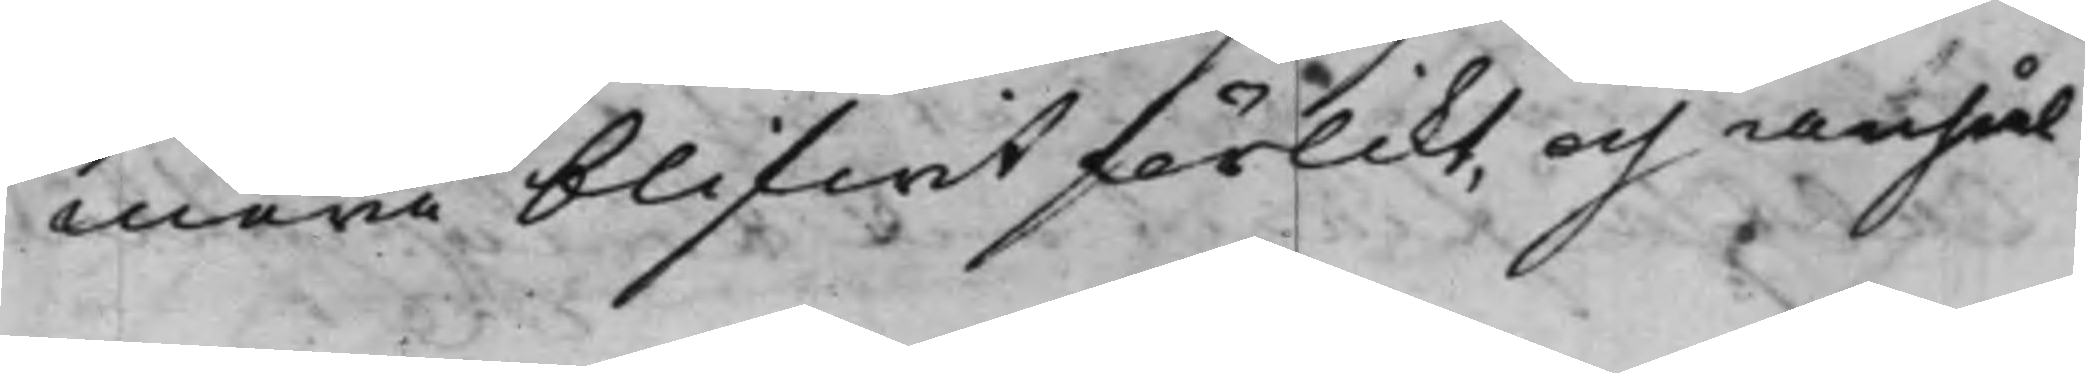mera blifwit förlikt, och anhål¬
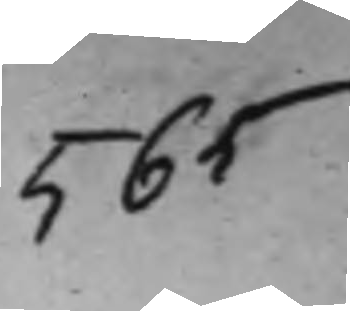565
